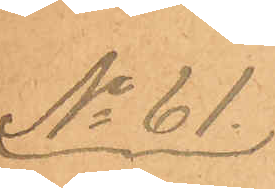No 61.
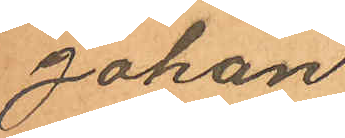Johan
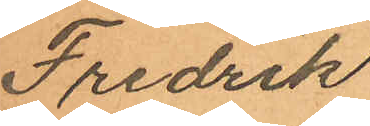Fredrik
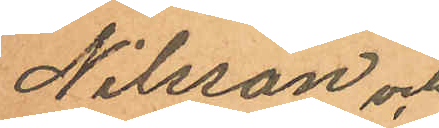Nilsson och
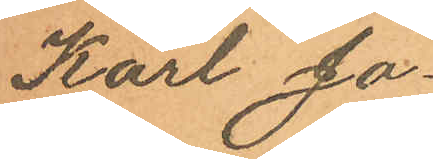Karl Jo¬
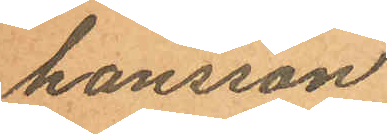hansson
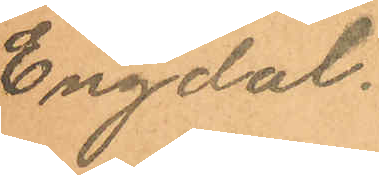Engdal.
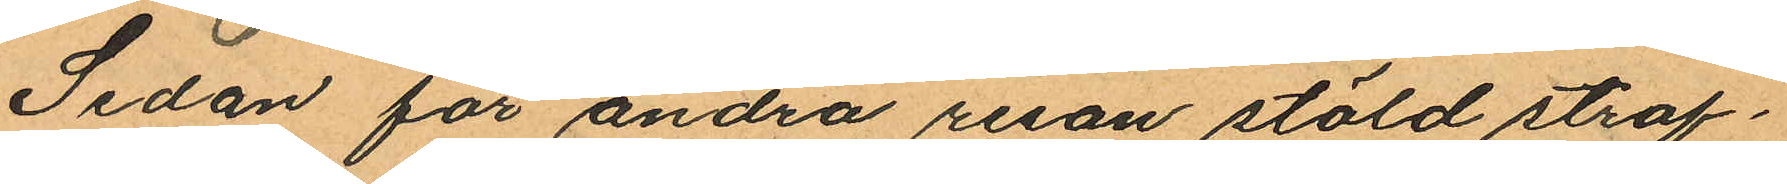Sedan för andra resan stöld straf¬
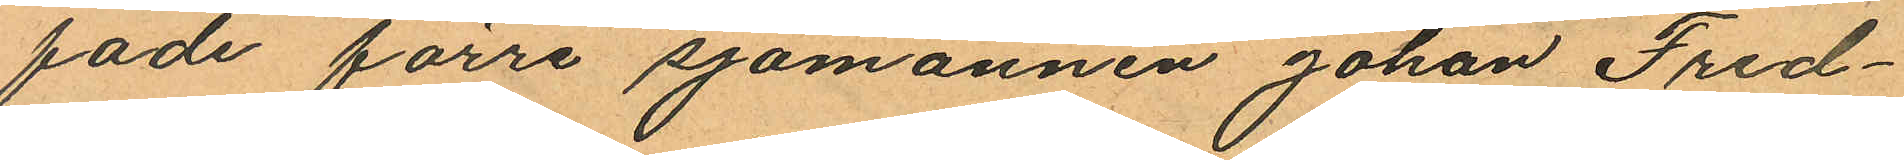fade förre sjömannen Johan Fred¬
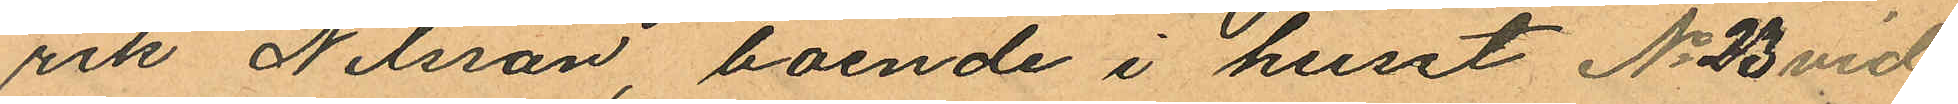rik Nilsson boende i huset No 23 vid
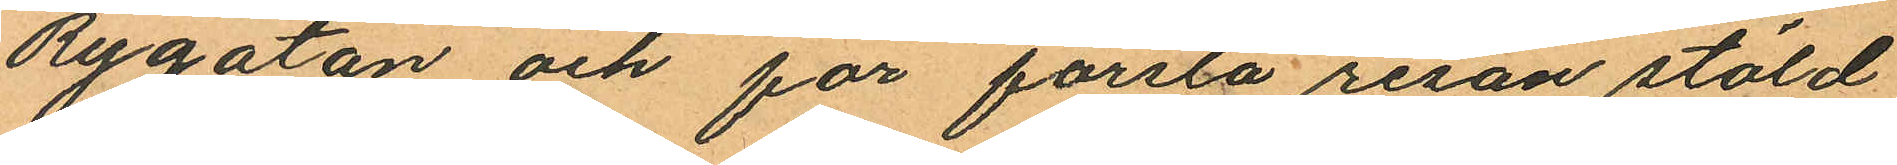Rygatan och för första resan stöld
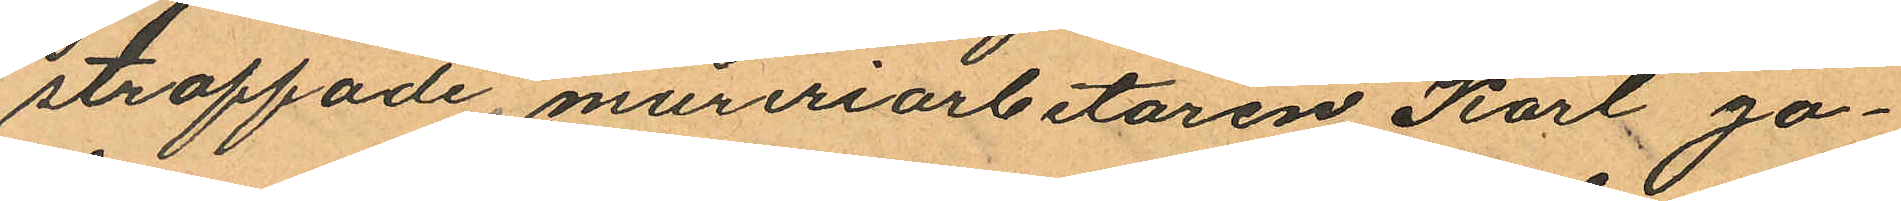straffade mureriarbetaren Karl Jo¬
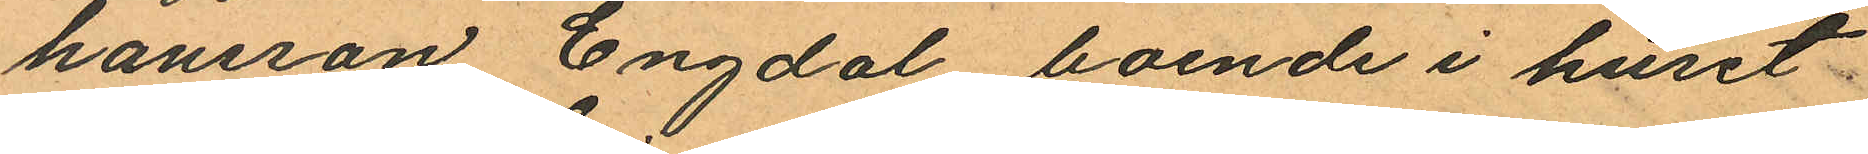hansson Engdal boende i huset
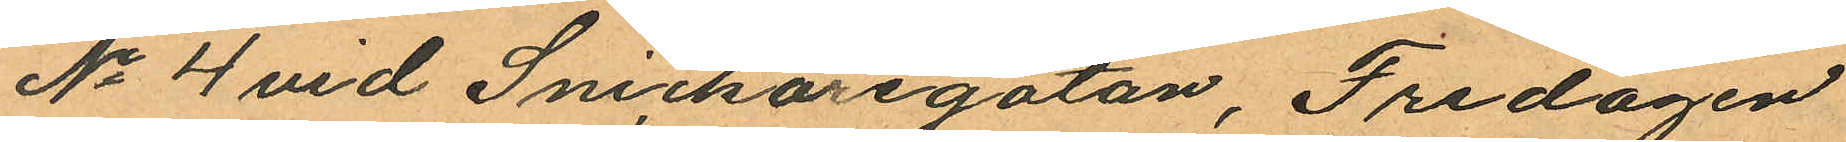No 4 vid Snickaregatan, Fredagen
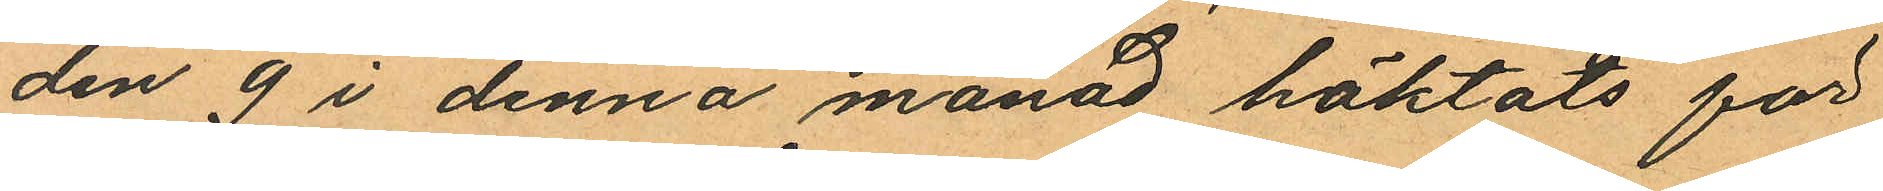den 9 i denna månad häktats för
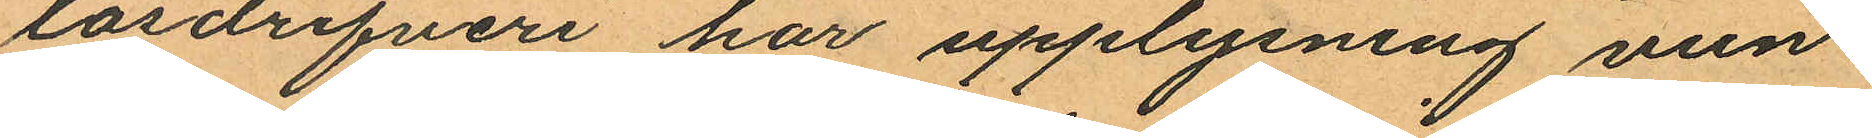lösdrifveri har upplysning vun¬
